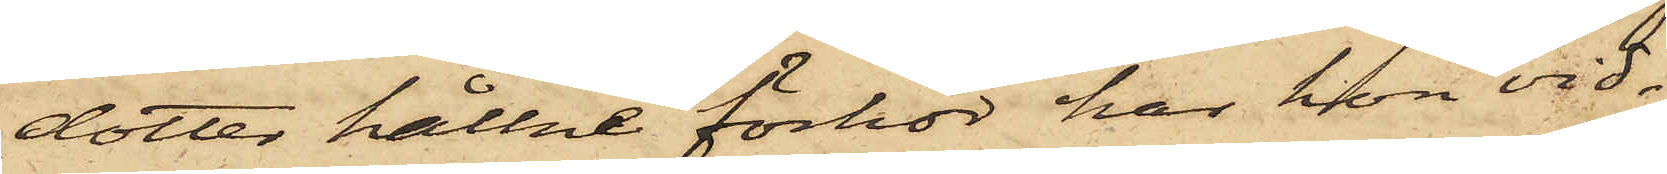dotter hållne förhör har hon vid¬
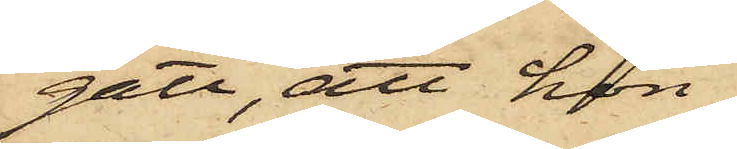gått, att hon
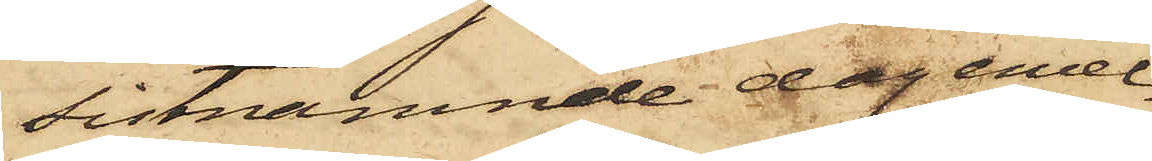sistnämnde dag emel¬
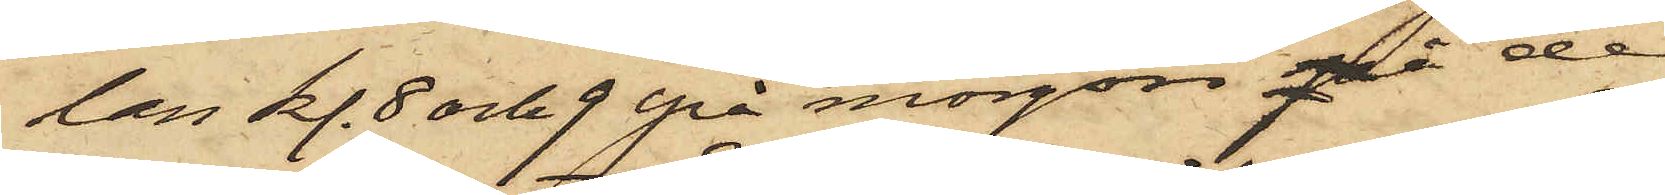lan kl. 8 och 9 på morgon på de
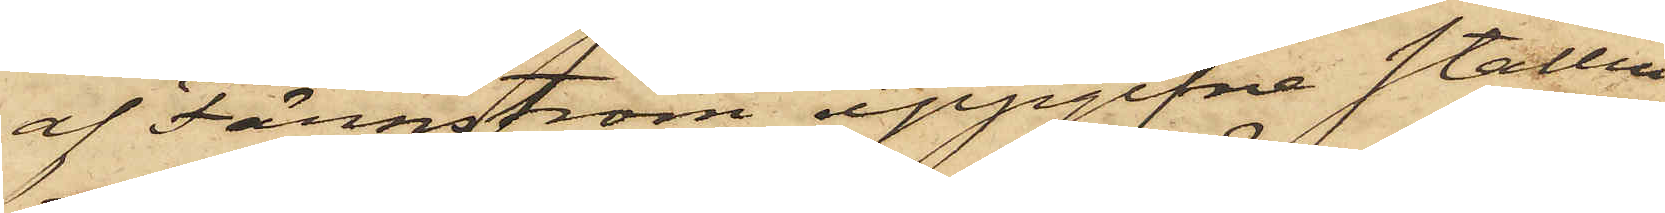af Färnström uppgifne ställen
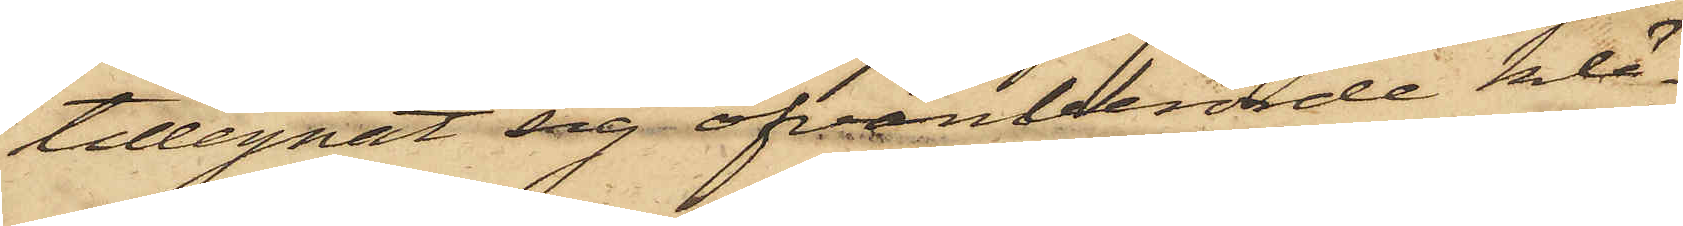tillegnat sig ofvanberörde klä¬
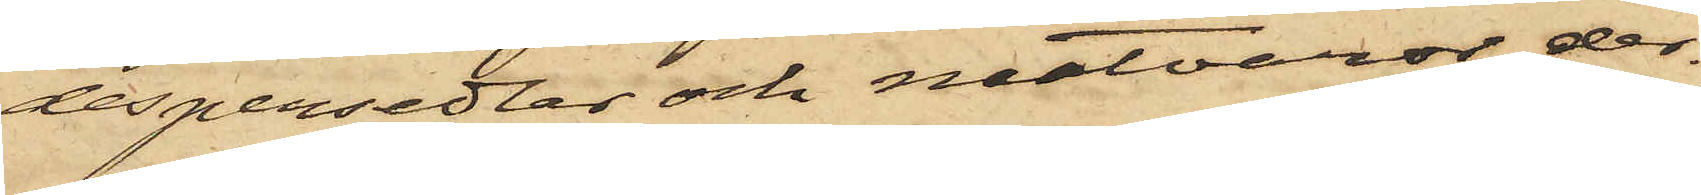despersedlar och matvaror, der¬
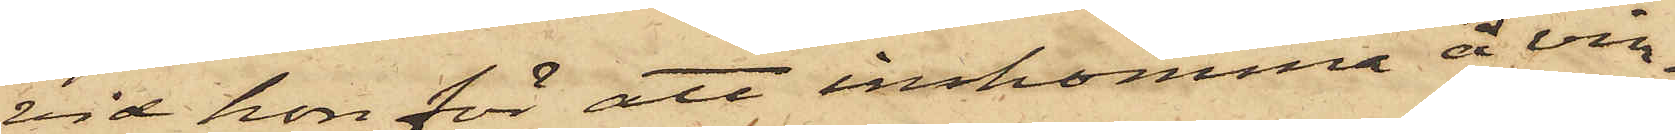vid hon för att inkomma å vin¬
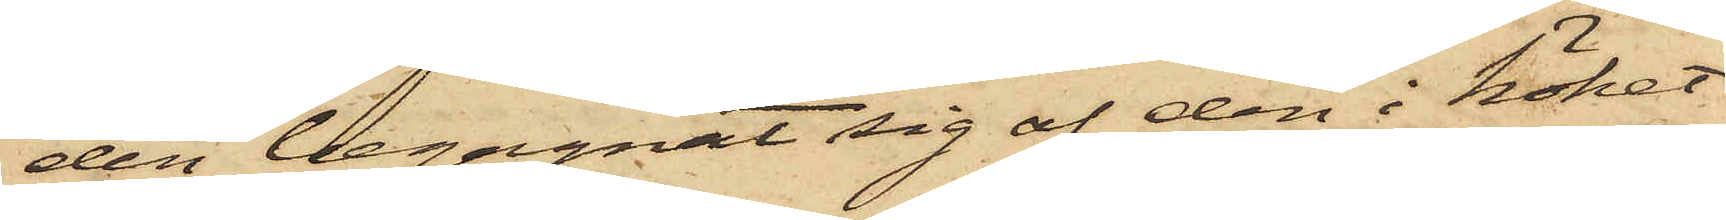den begagnat sig af den i köket
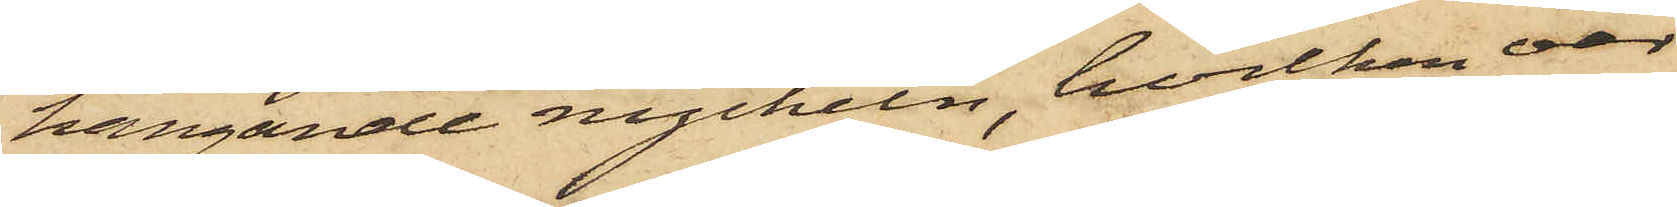hängande nyckeln, hvilken var
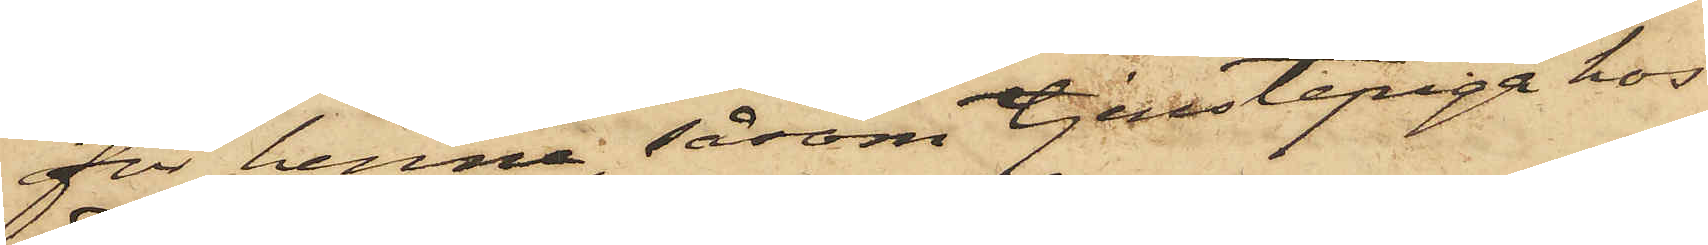för henne, såsom tjenstepiga hos
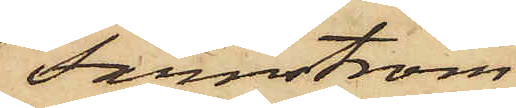Färnström
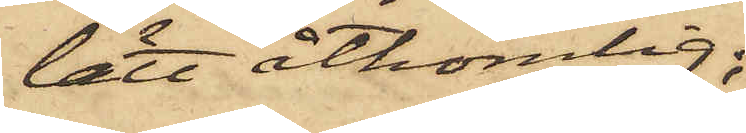lätt åtkomlig;
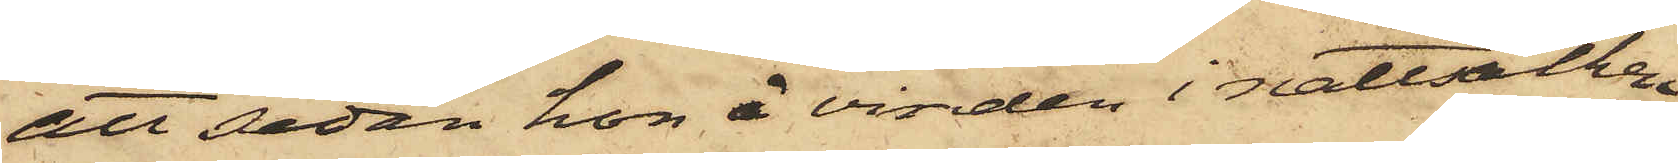att sedan hon å vinden i nattsäcken
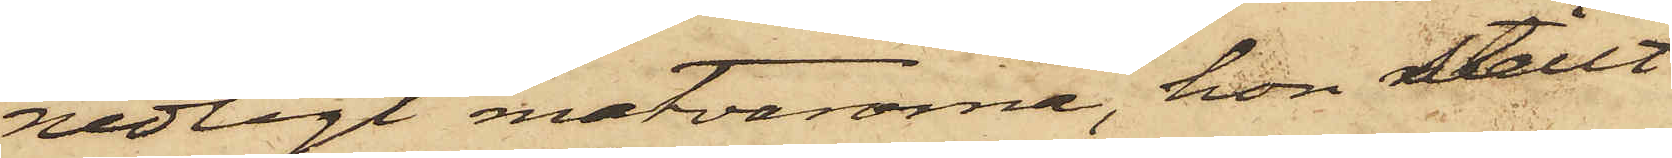nedlagt matvarorna, hon ställt
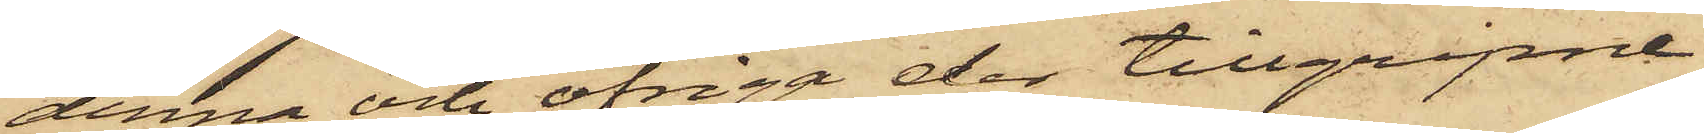denna och öfriga der tillgripne
